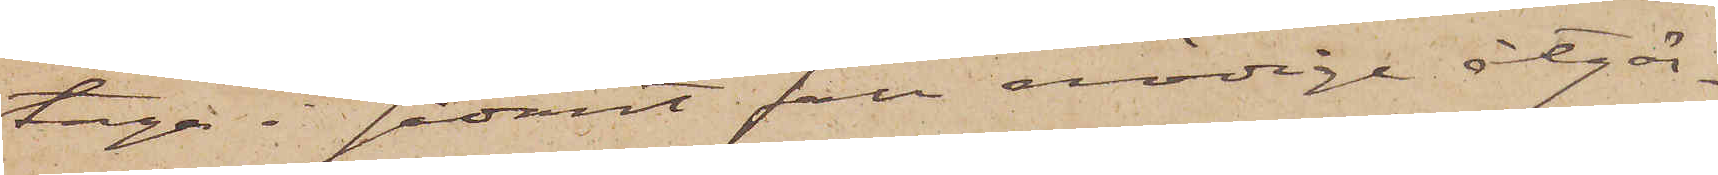taga i sådant fall nödige åtgär¬
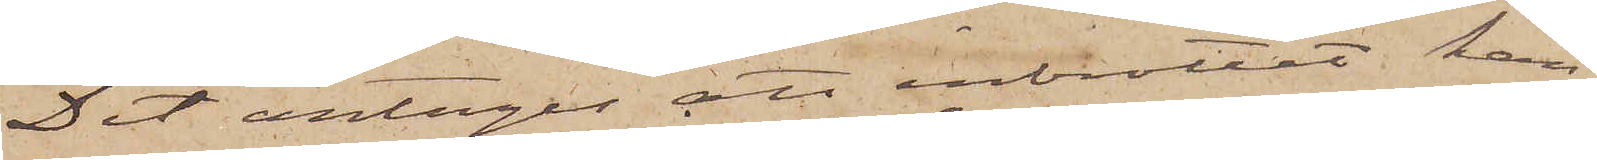Det antages att inbrottet kan
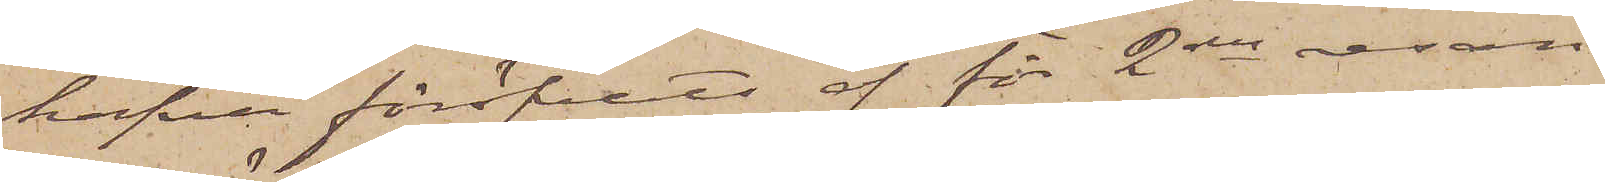hafva föröfvats af för 2dra resan
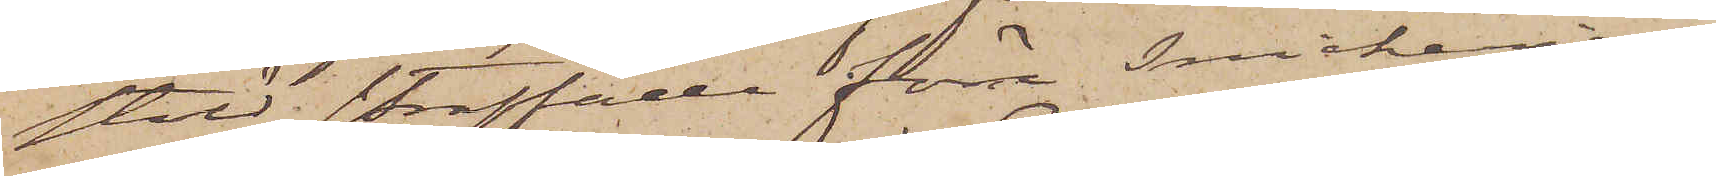stöld straffade förre Snickeriar¬
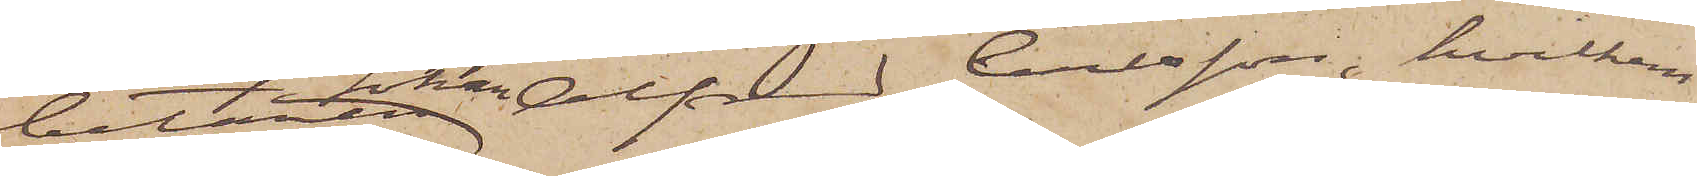beten Johan Alfred Carlsson, hvilkens
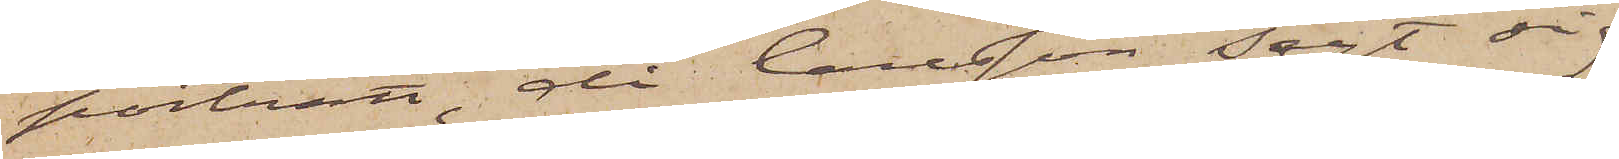porträtt, då Carlsson sagt sig
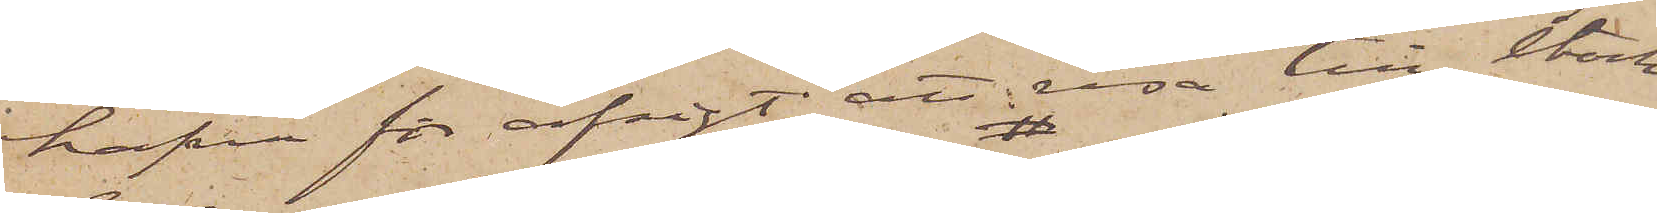hafva för afsigt att resa till Stock¬
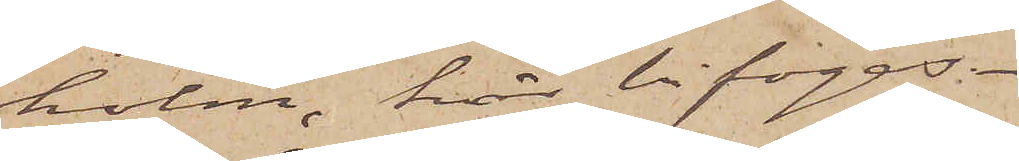holm, här bifogas.
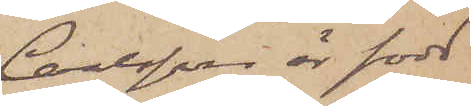Carlsson är född
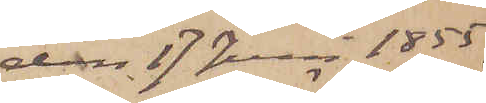den 17 Juni 1855,
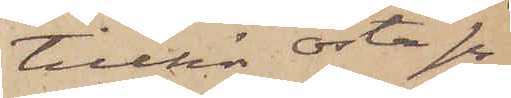tillhör Östa sn
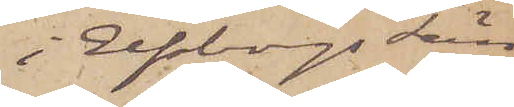i Elfsborgs län
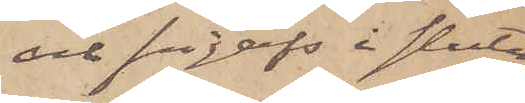och frigafs i slutet
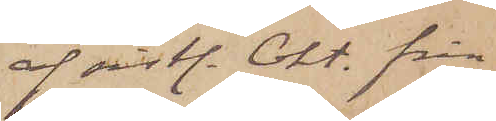af sistl. Okt. från
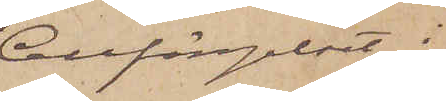Cellfängelset i
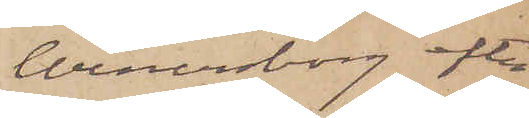Wenersborg efter
